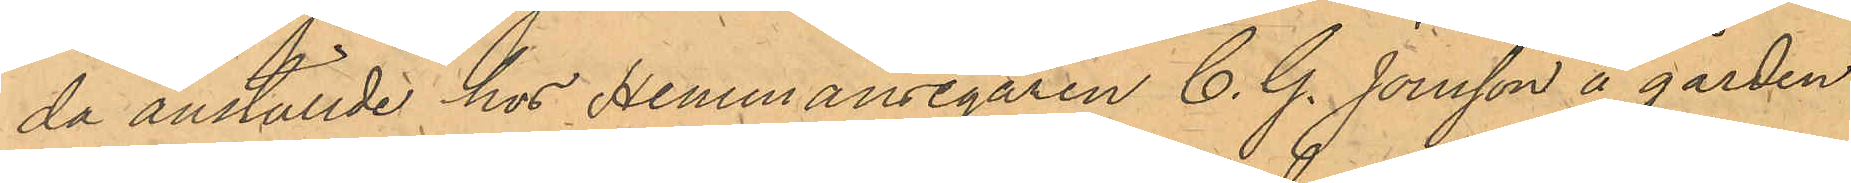da anställde hos Hemmansägaren C. G. Jonsson å gården
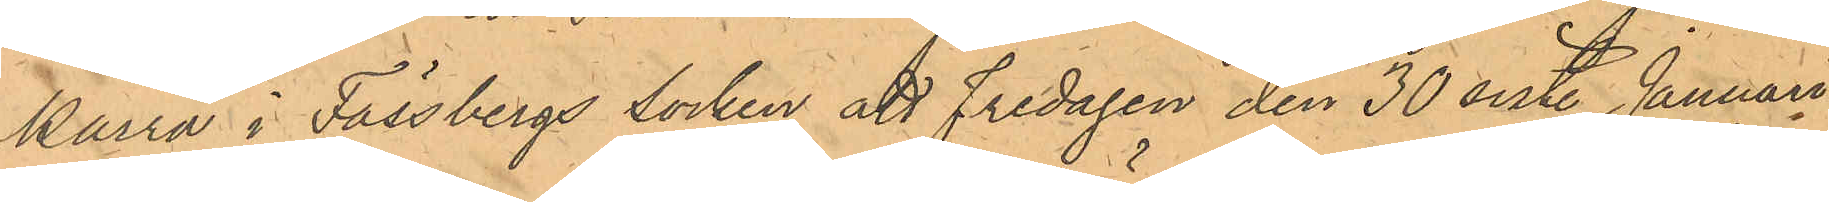Kärra i Fässbergs Socken att Fredagen den 30 sist. Januari
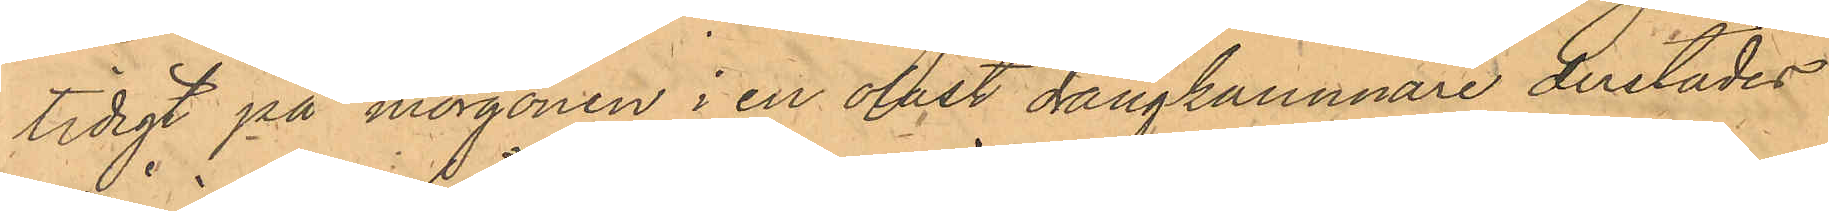tidigt på morgonen i en olåst drängkammare derstädes
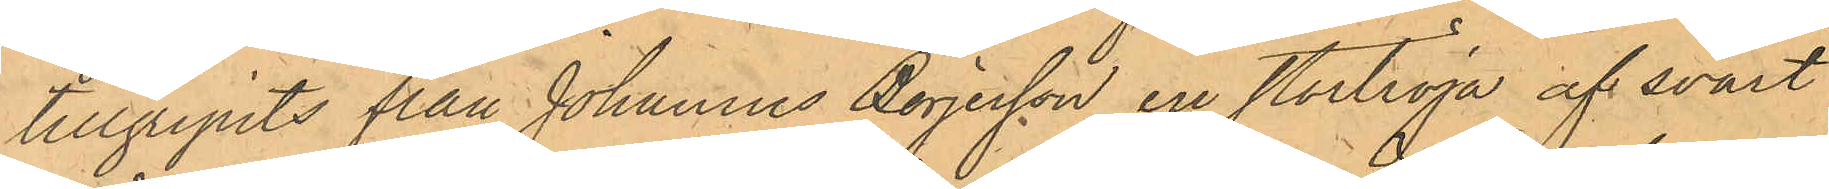tillgripits från Johannes Börjesson en stortröja af svart
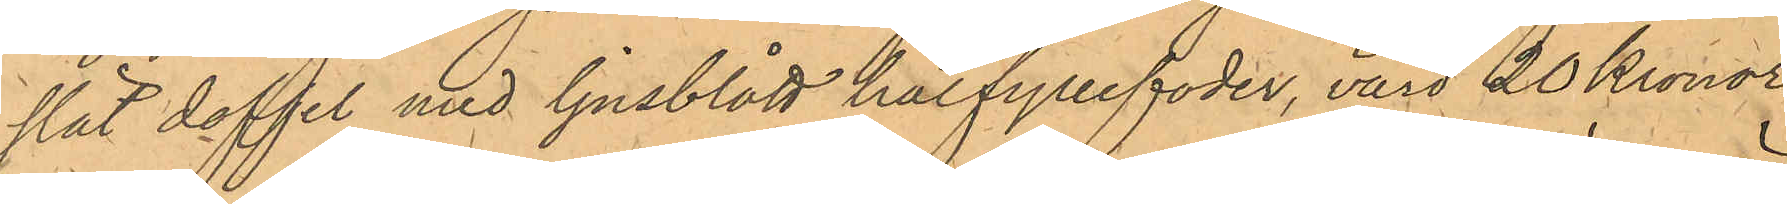slät doffel med ljusblått halfyllefoder, värd 20 Kronor,
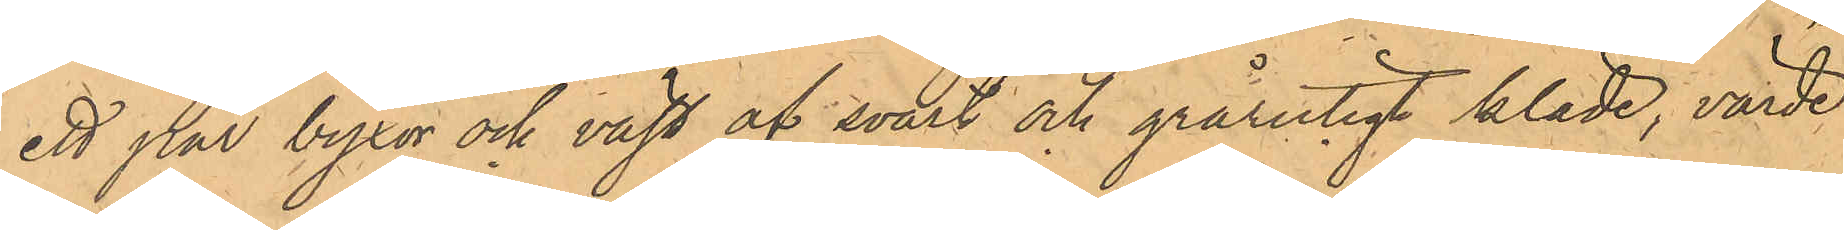ett par byxor och väst af svart och grårutigt kläde, värde
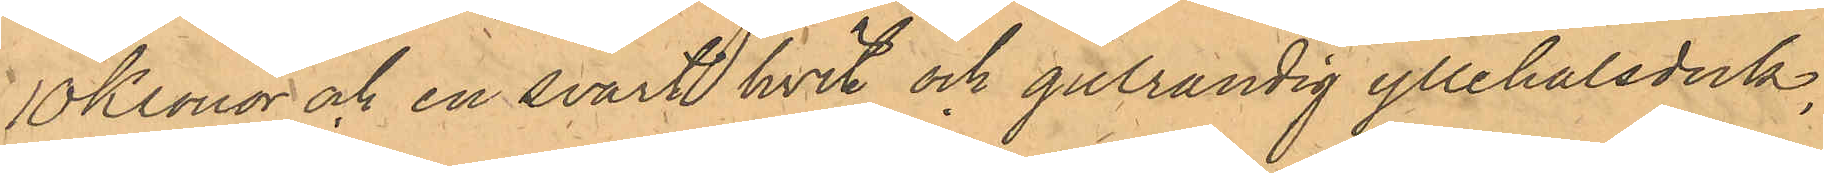10 Kronor och en svart hvit och gulrandig yllehalsduk,
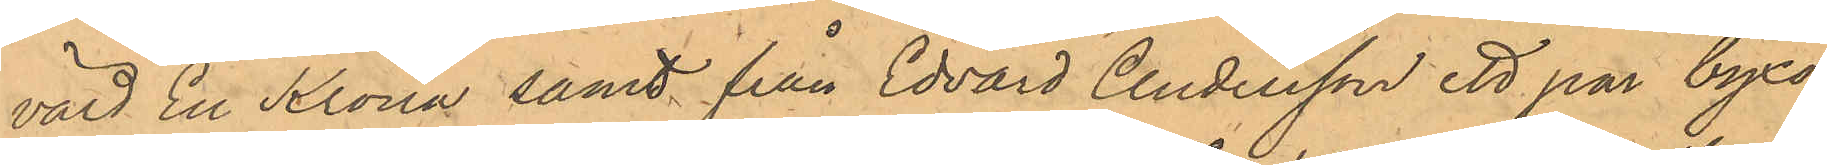värd En Krona samt från Edvard Andersson ett par byxor
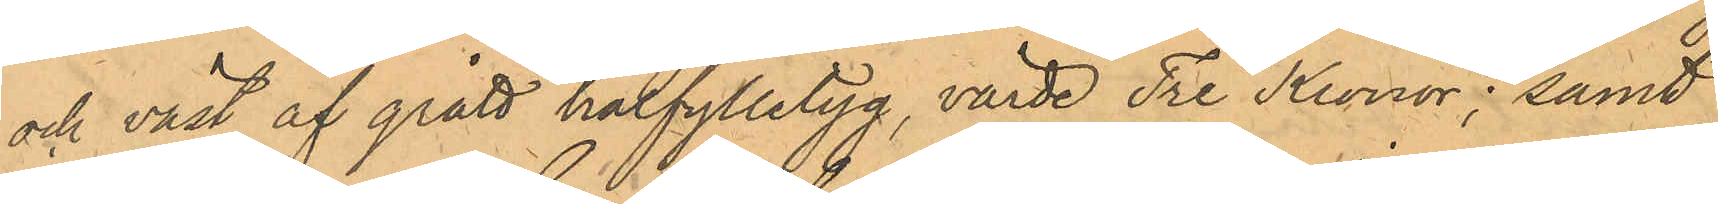och väst af grått halfylletyg, värde Tre Kronor; samt
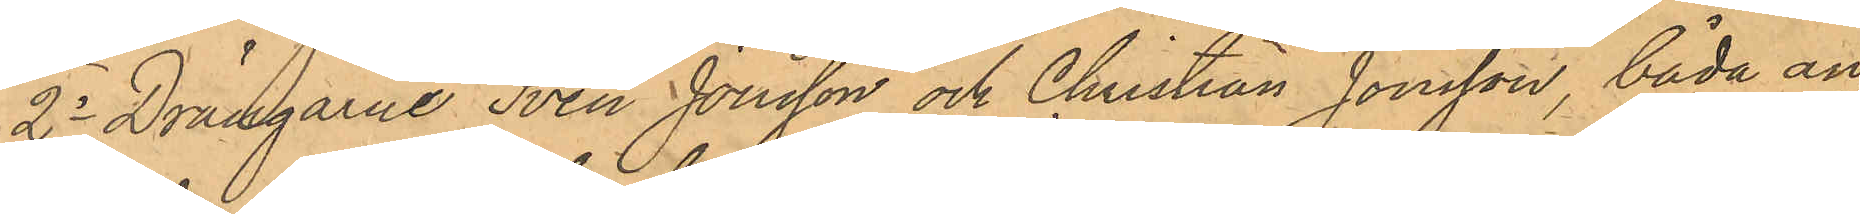2o Drängarne Sven Jonsson och Christian Jonsson, båda an¬
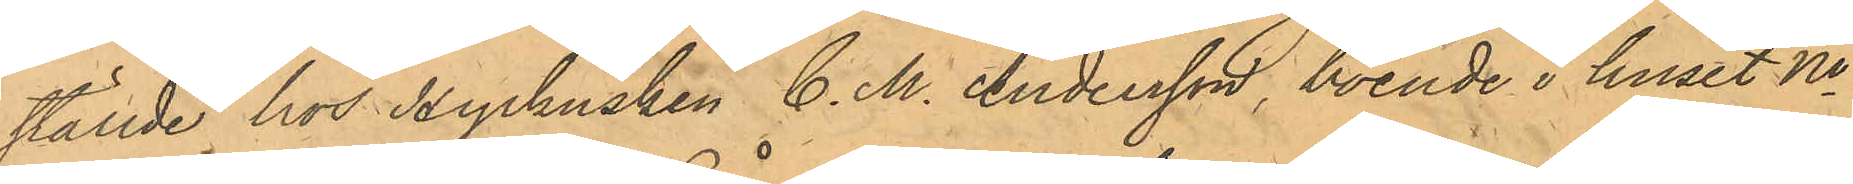ställde hos Hyrkusken C. M. Andersson, boende i huset No
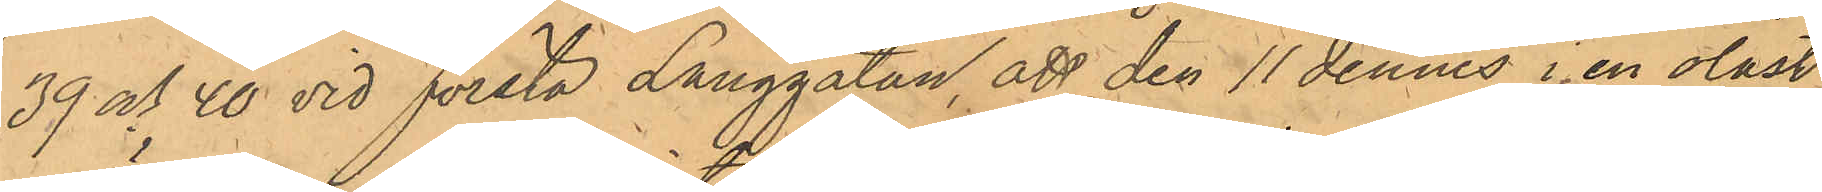39 och 40 vid Första Långgatan, att den 11 dennes i en olåst
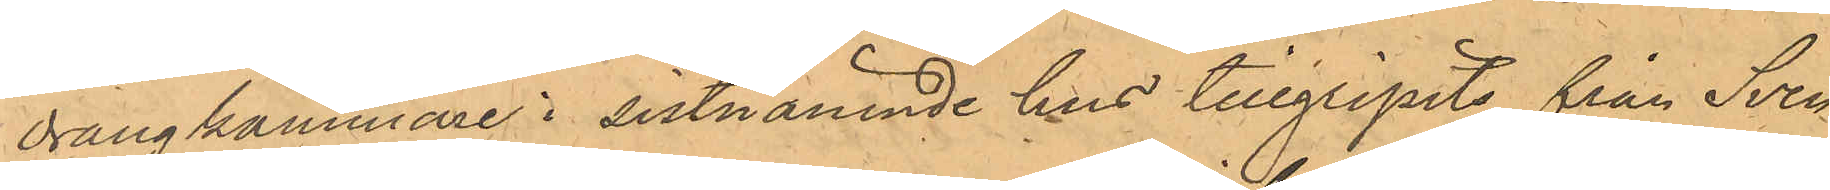drängkammare i sistnämnde hus tillgripits från Sven
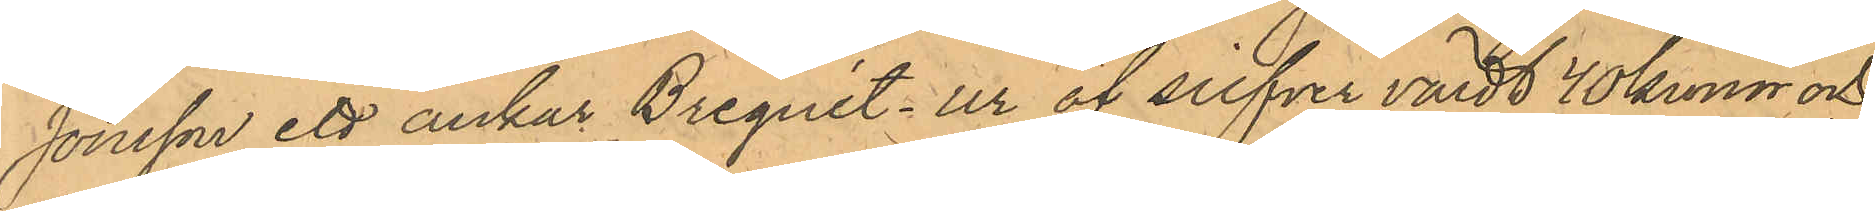Jonsson ett ankar Breguét-ur af silfver värdt 40 kronor och
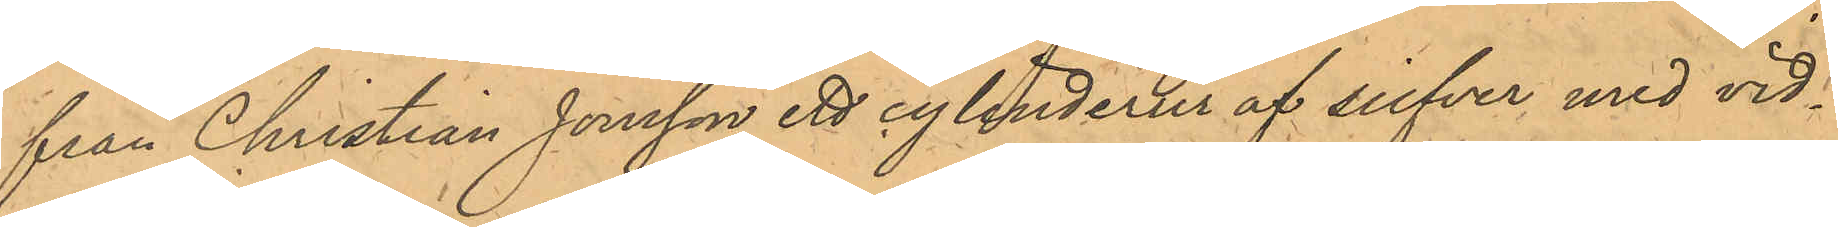från Christian Jonsson ett cylinderur af silfver med vid¬
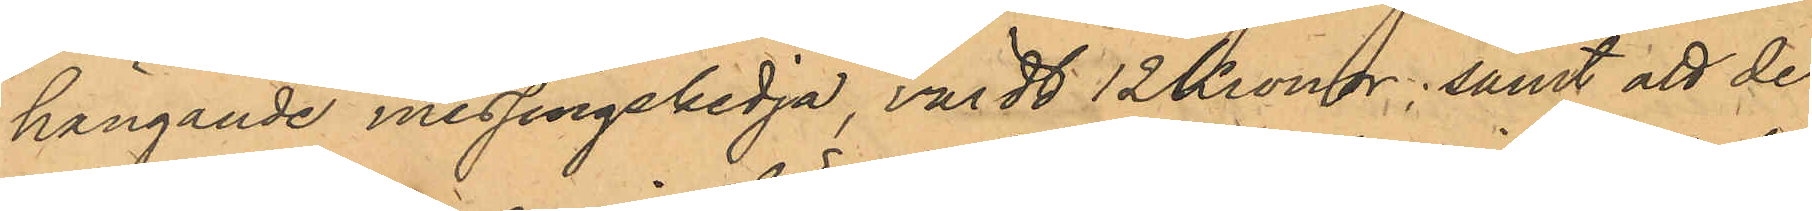hängande messingskedja, värdt 12 Kronor, samt att de 
